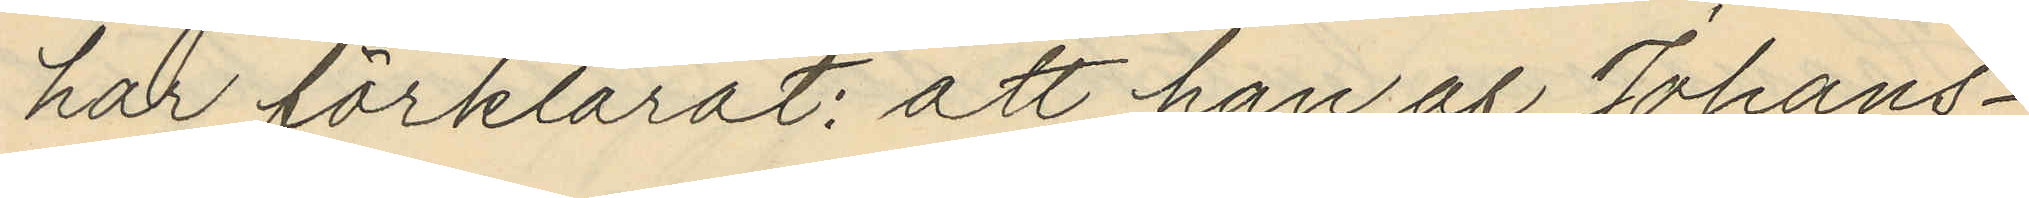har förklarat: att han af Johans¬
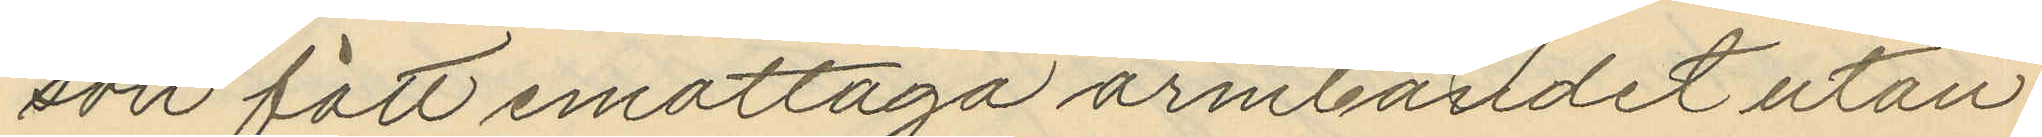son fått emottaga armbandet utan
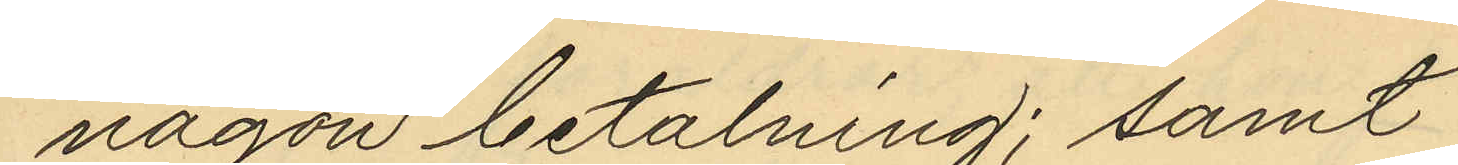någon betalning; samt
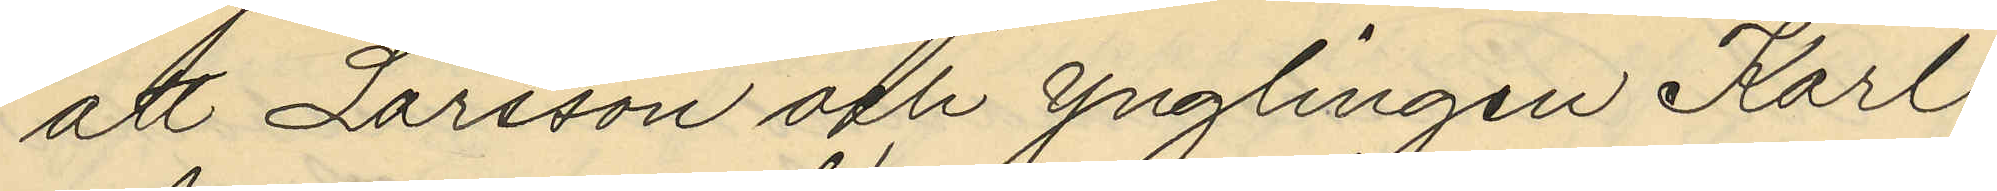att Larsson och ynglingen Karl
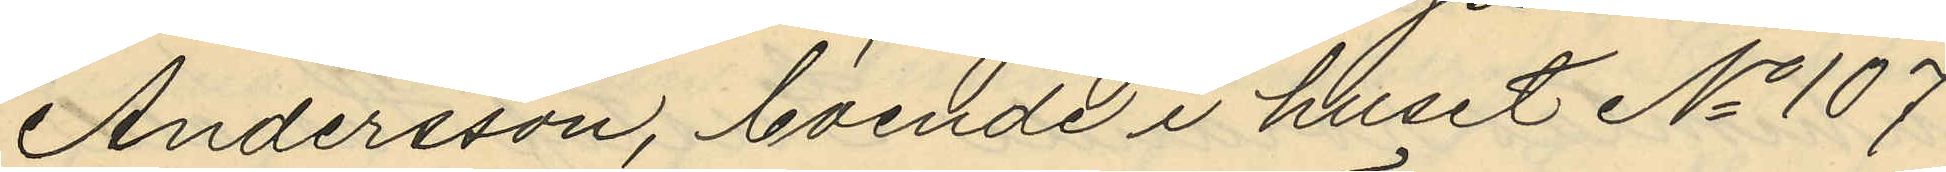Andersson, boende i huset No 107
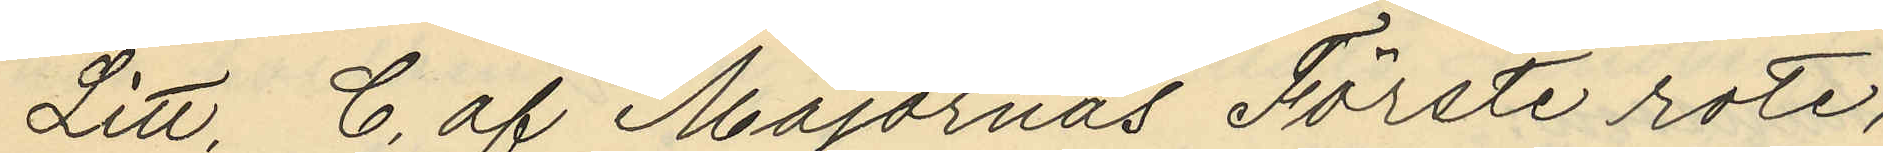Litt, C. af Majornas Förste rote,
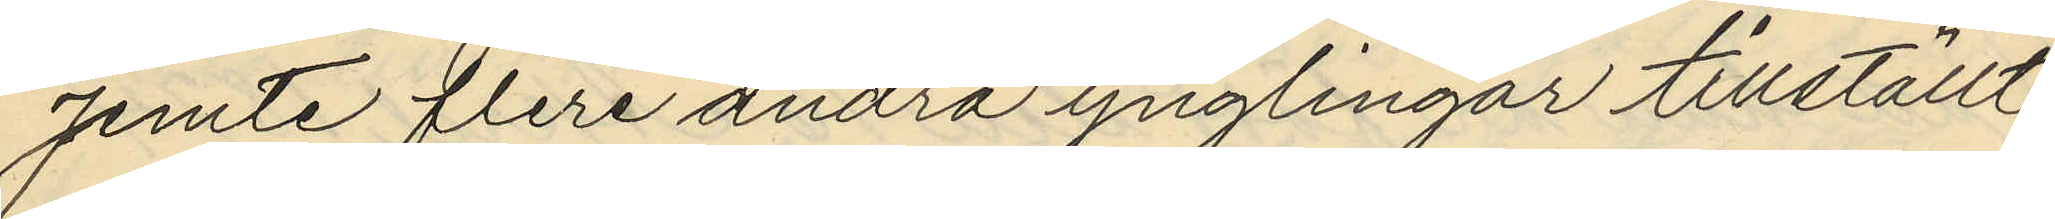jemte flere andra ynglingar tillställt
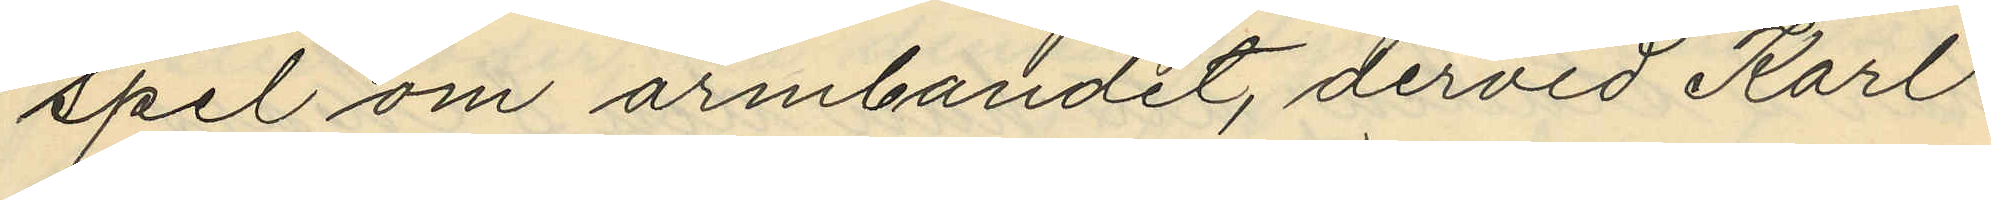spel om armbandet, dervid Karl
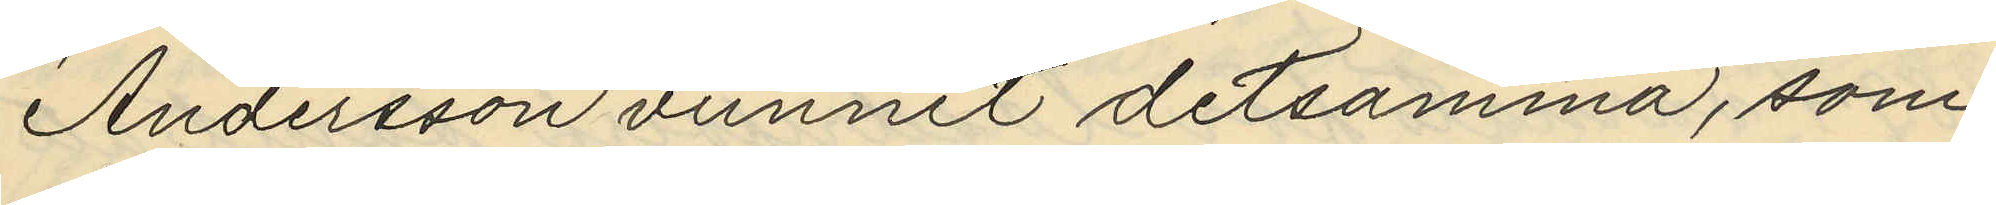Andersson vunnit detsamma, som
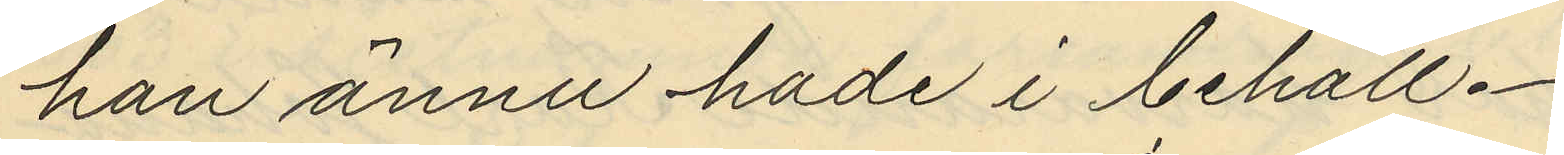han ännu hade i behåll.
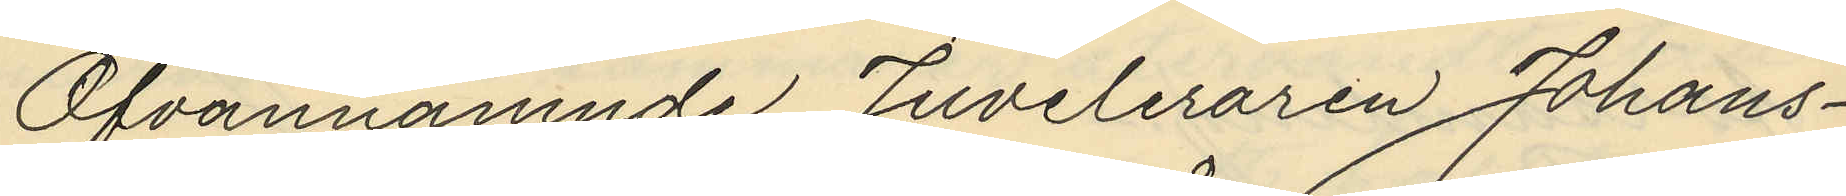Ofvannämnde Juveleraren Johans¬
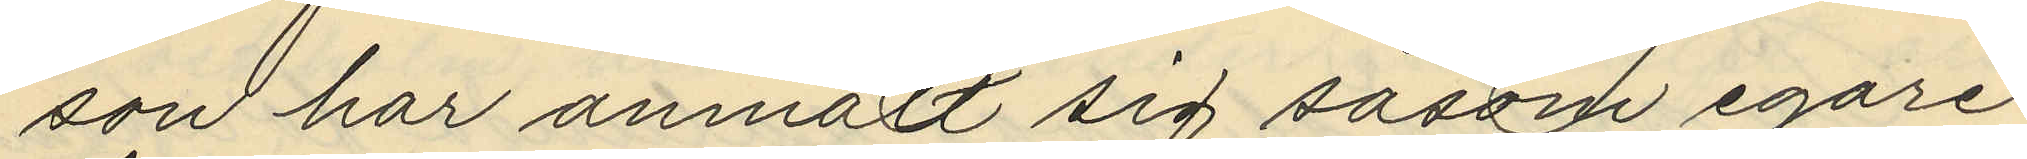son har anmält sig såsom egare
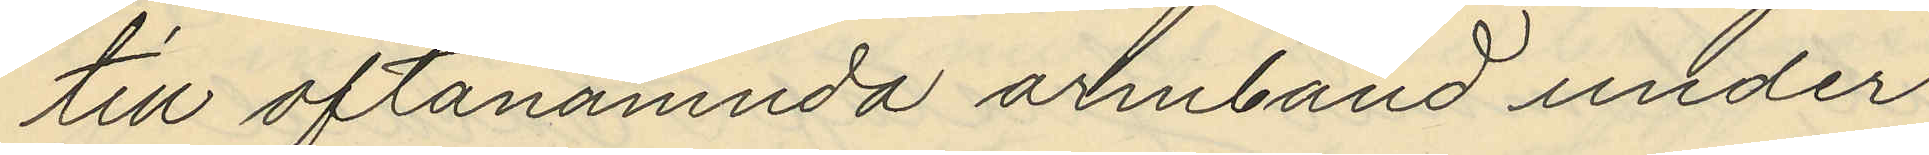till oftanämnda armband under
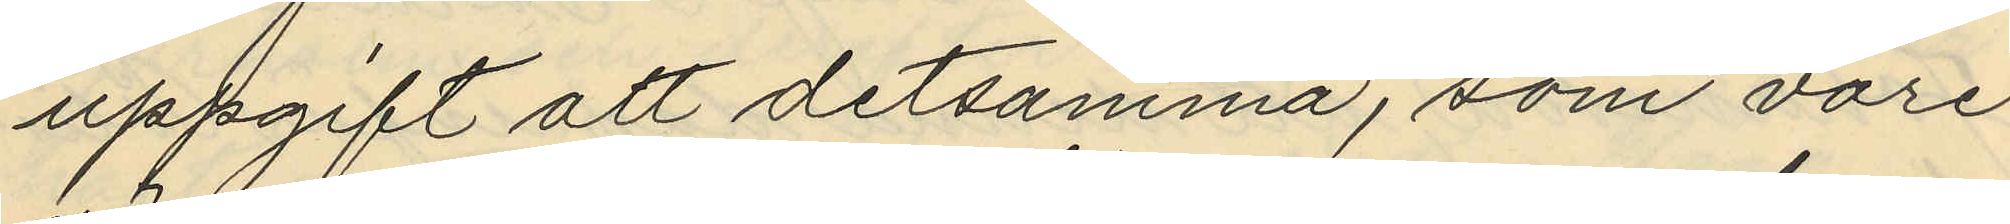uppgift att detsamma, som vore
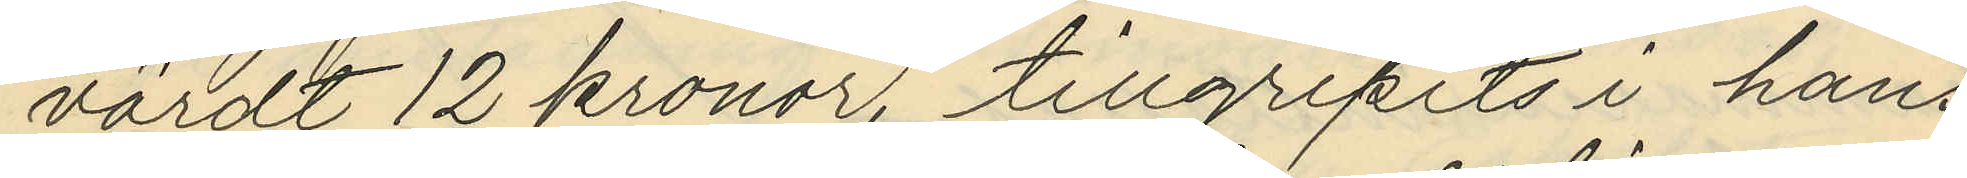värdt 12 kronor, tillgripits i hans
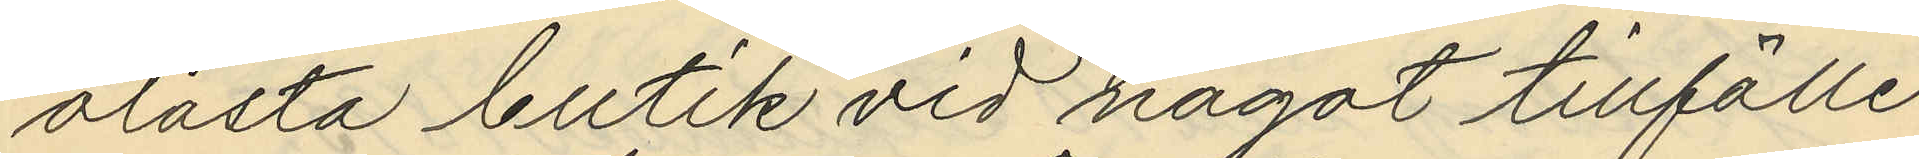olåsta butik vid något tillfälle
